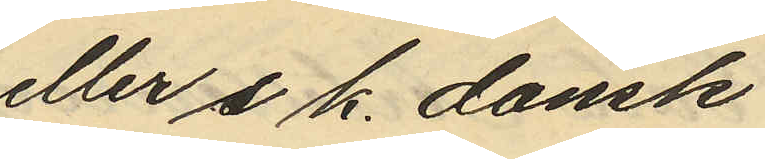eller s. k. dansk
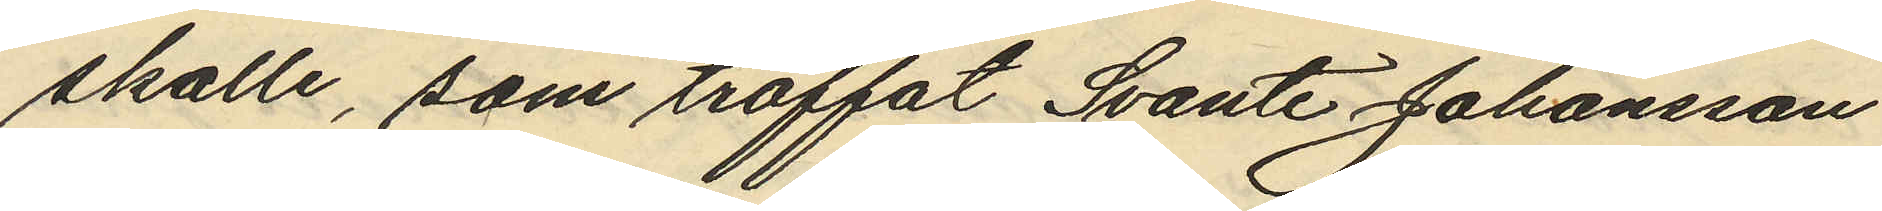skalle, som träffat Svante Johansson
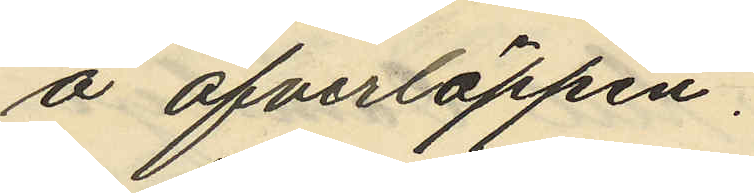å öfverläppen.
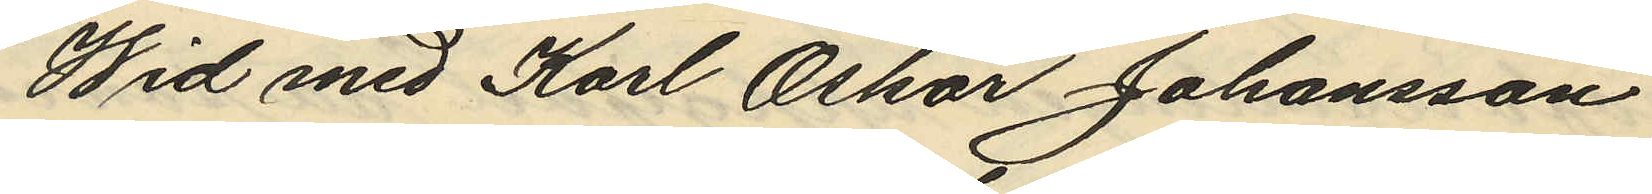Wid med Karl Oskar Johansson
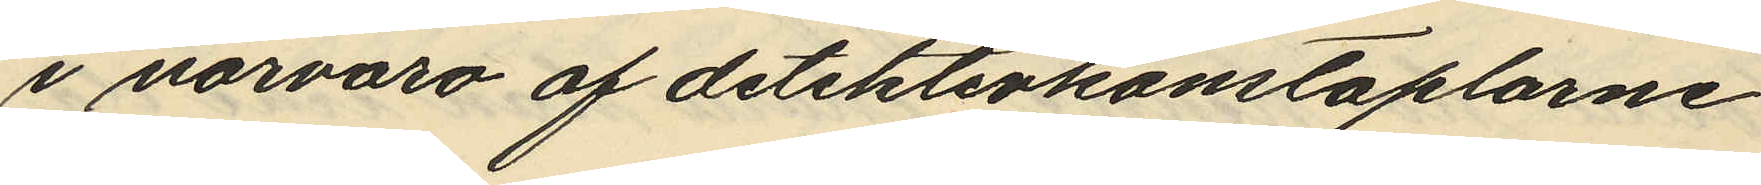i närvaro af detektivkonstaplarne
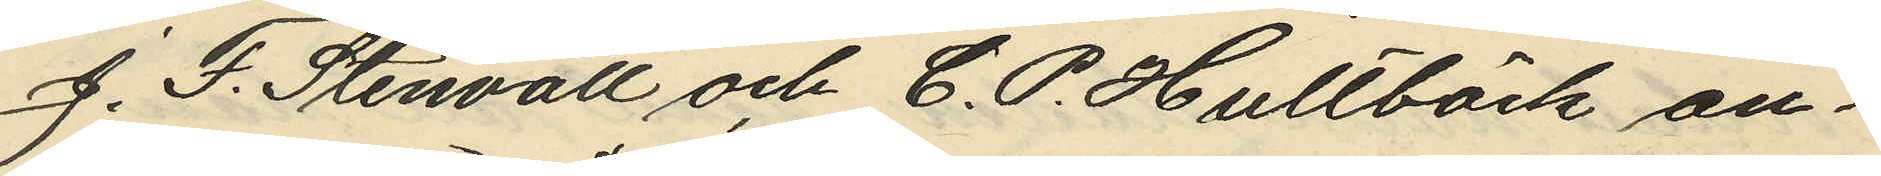J. F. Stenvall och C. P. Hultbäck an¬
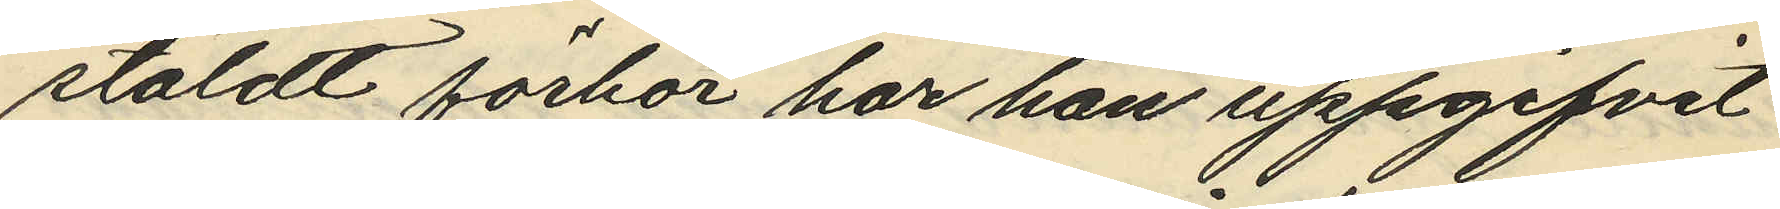stäldt förhör har han uppgifvit
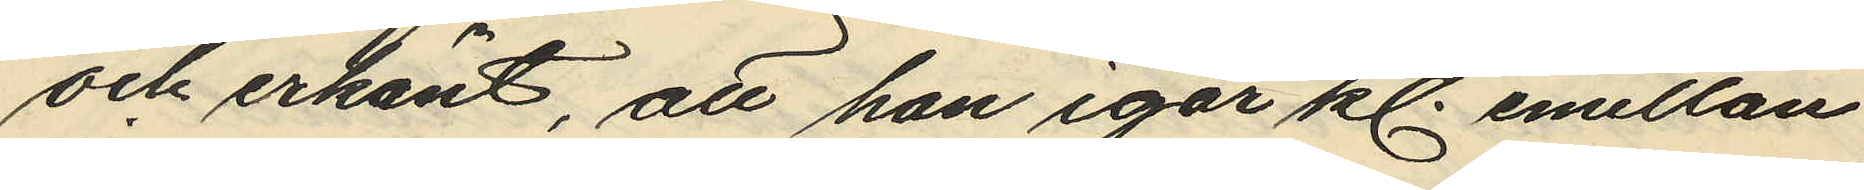och erkänt, att han igår kl. emellan
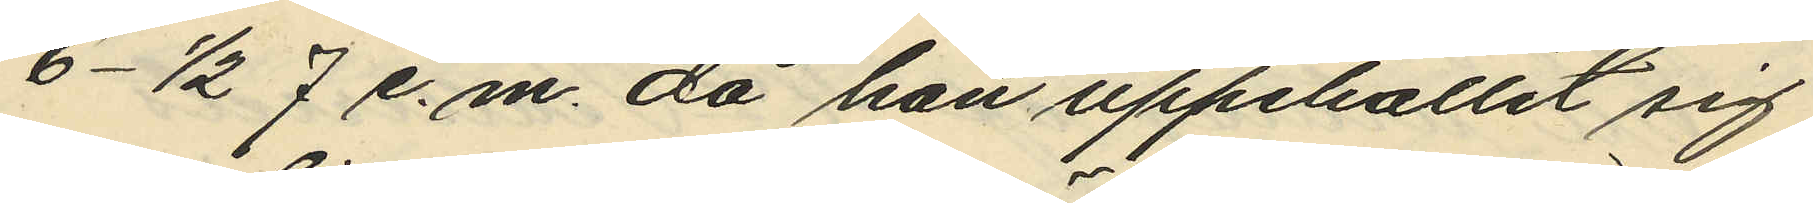6 - 1/2 7 e.m. då han uppehållit sig
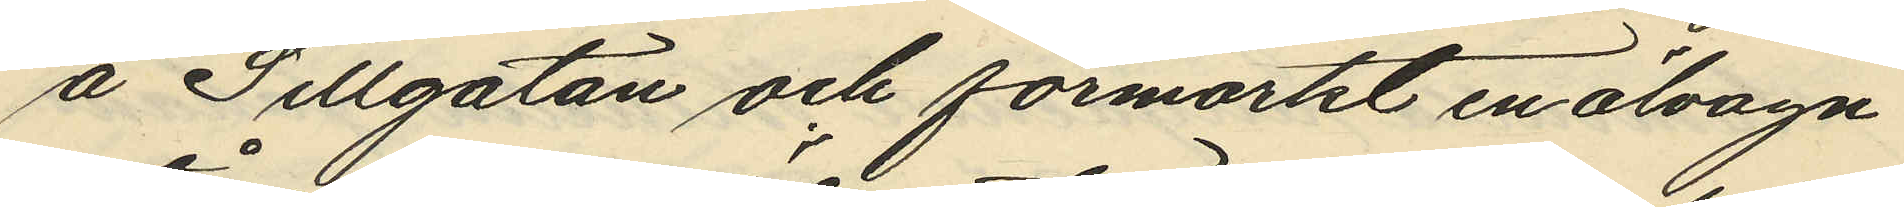å Sillgatan och förmärkt en ölvagn
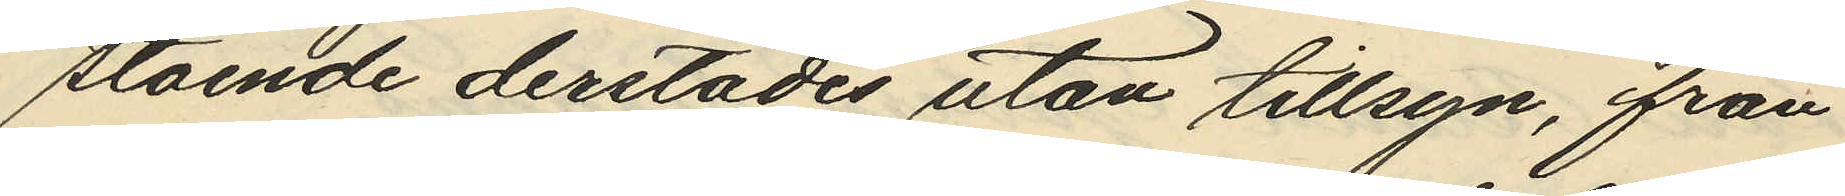stående derstädes utan tillsyn, från
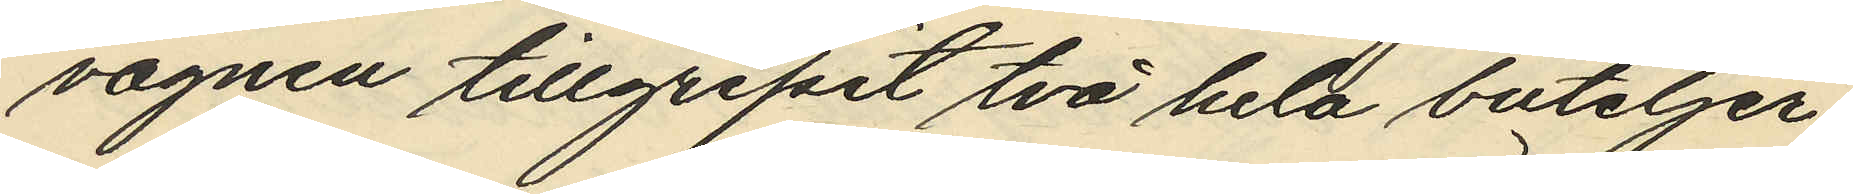vagnen tillgripit två hela buteljer
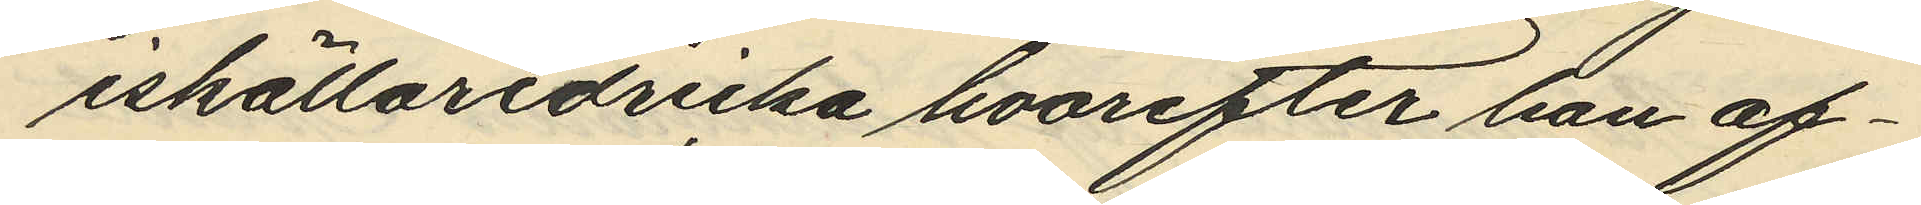iskällaredricka hvarefter han af¬
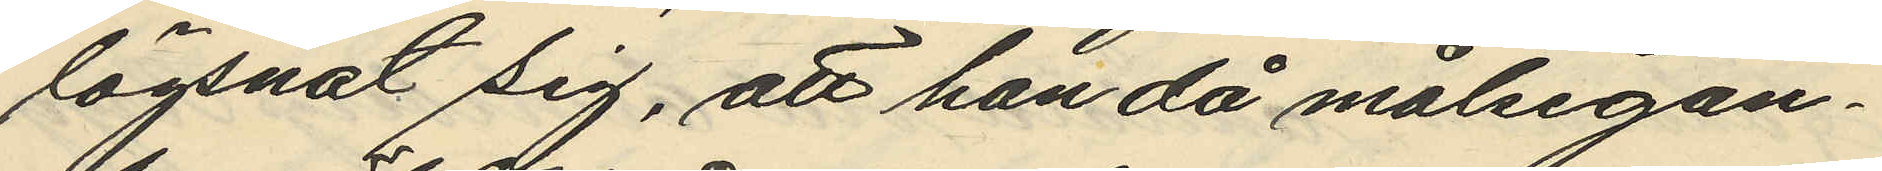lägsnat sig, att han då målsegan¬
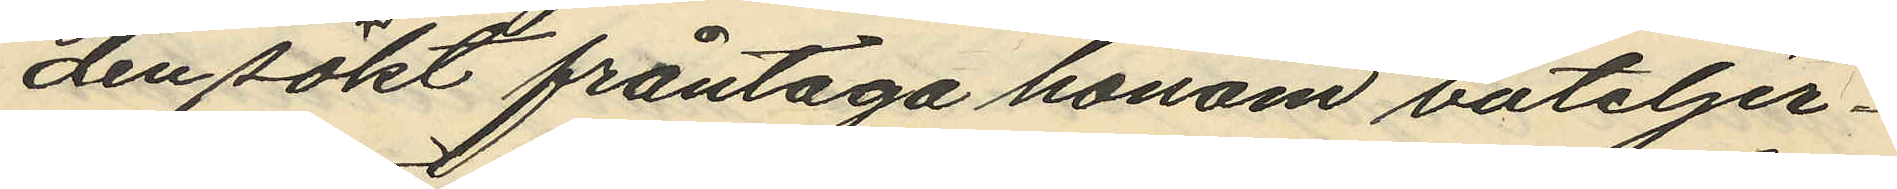den sökt fråntaga honom buteljer¬
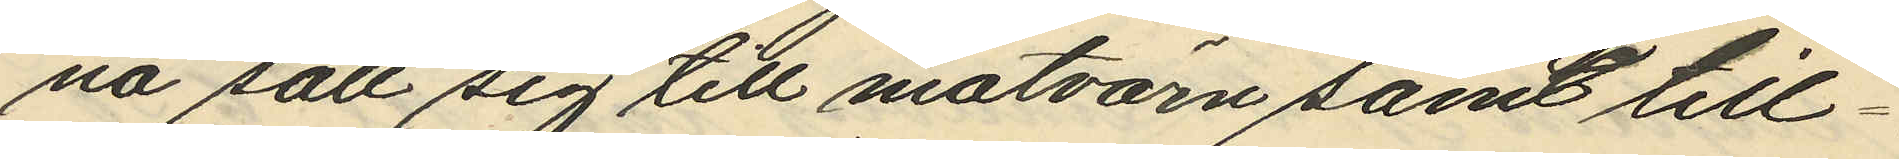na satt sig till motvärn samt till¬
